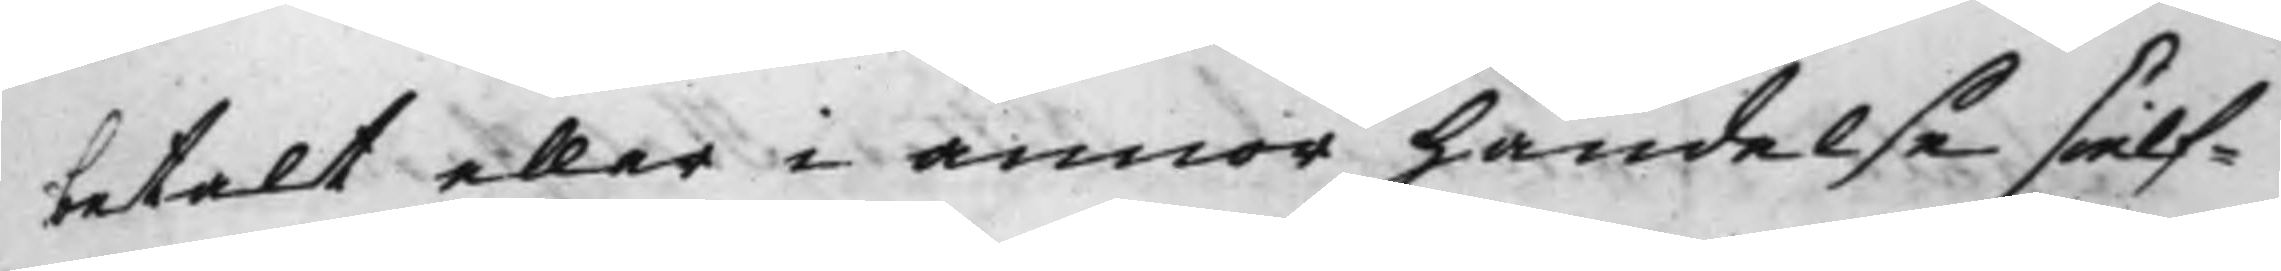betalt eller i annor händelse sielf¬
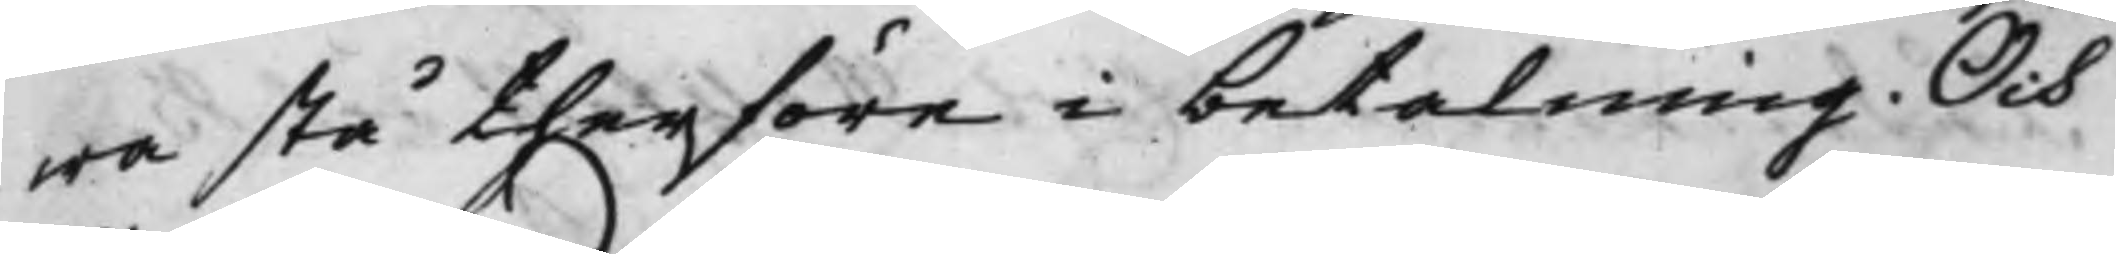wa stå therföre i betalning, Och
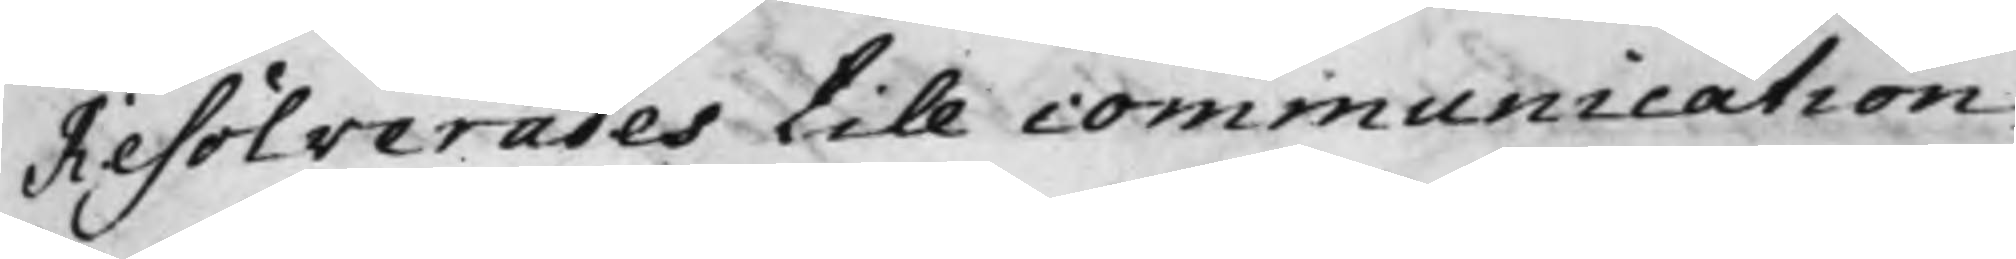Resolverades till communication
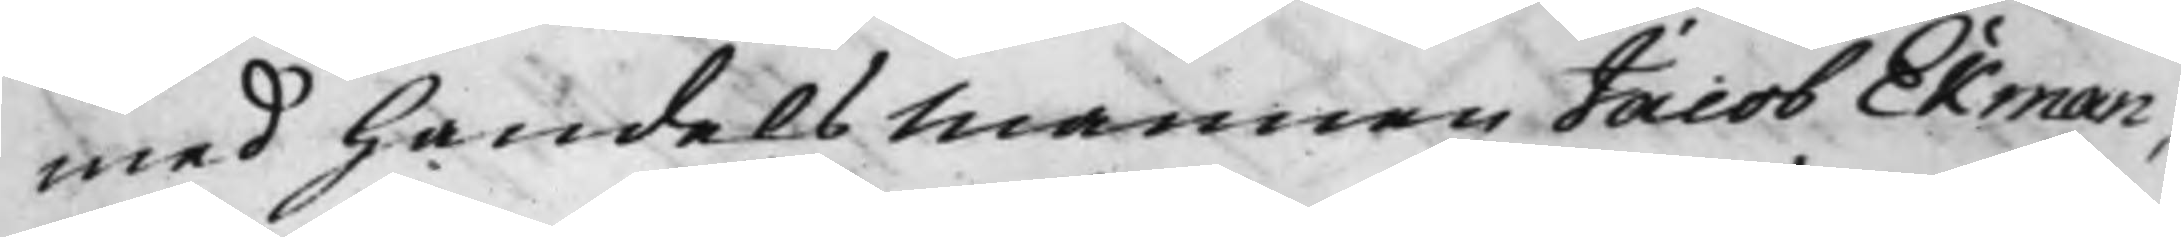med Handelsmannen Jacob Ekman,
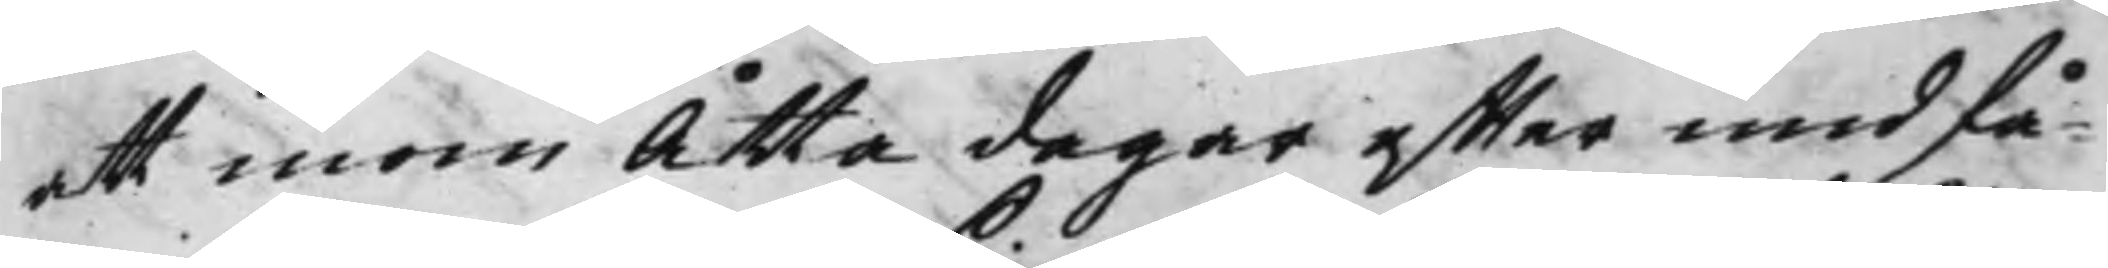att inom Åtta dagar effter undfå¬
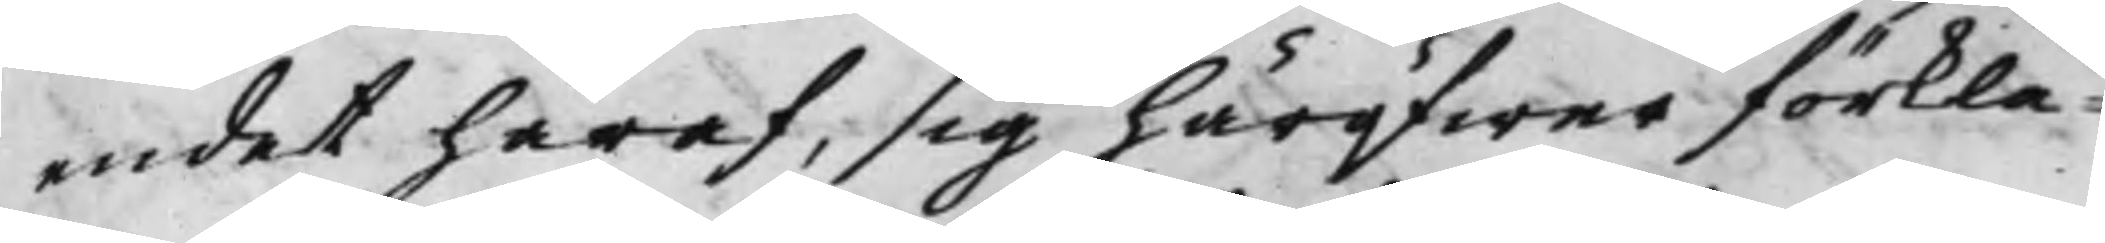endet häraf, sig häröfwer förkla¬
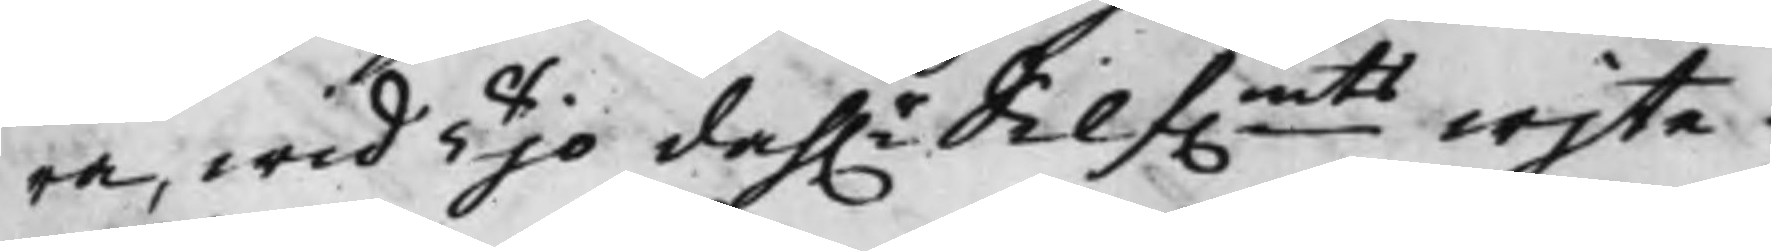ra, wid Tijo dah.r Silf.mts wijte.
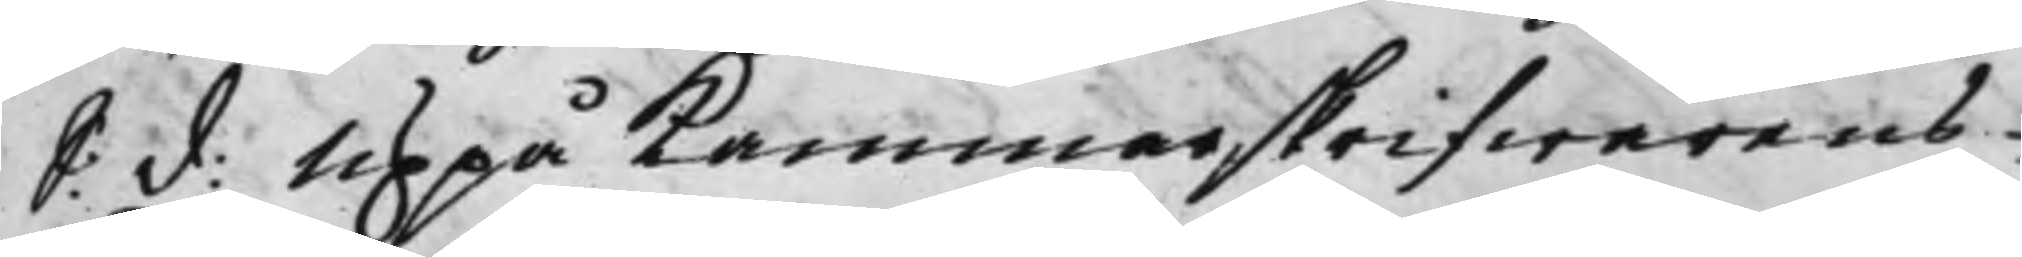S: d: Uppå Kammarskrifwarens
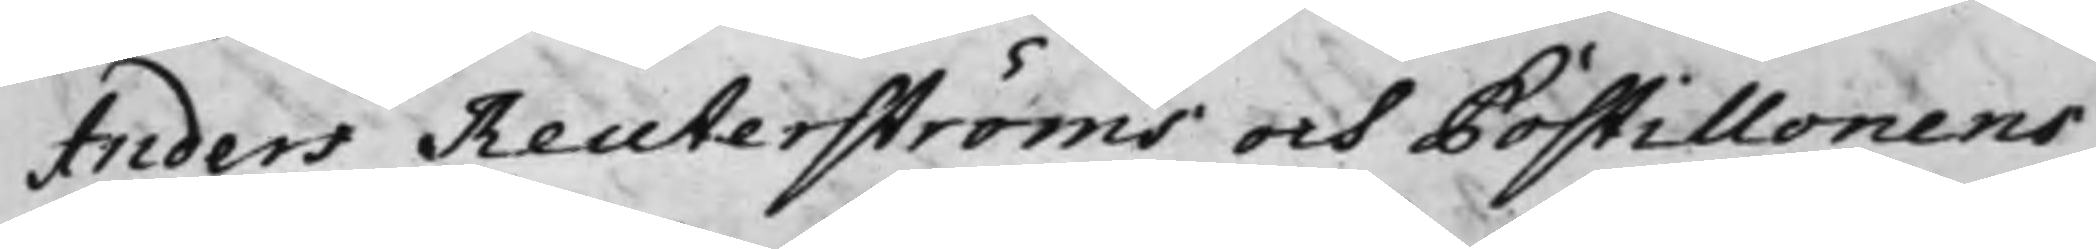Anders Reuterströms och Postillonens
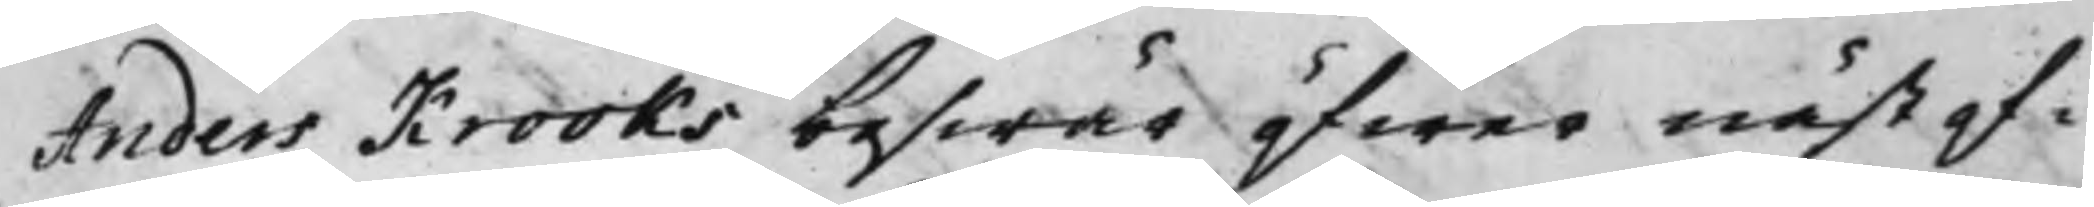Anders Krooks beswär öfwer näst of¬
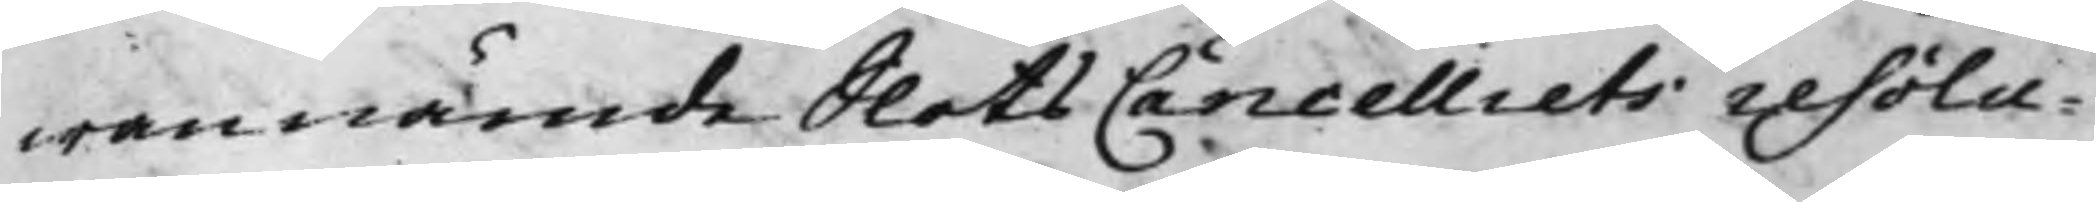wannämde Slots Cancelliets resolu¬
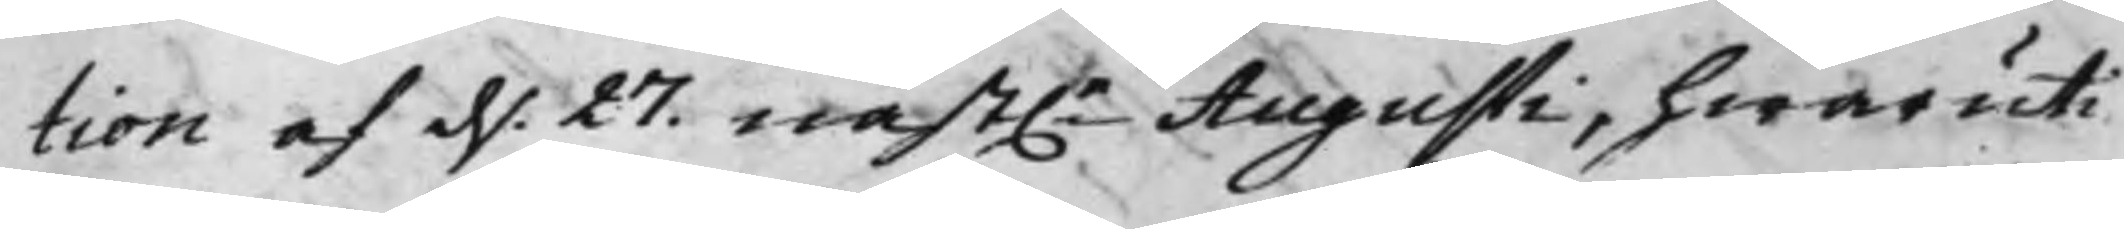tion af d. 27. näst.e Augusti hwaruti
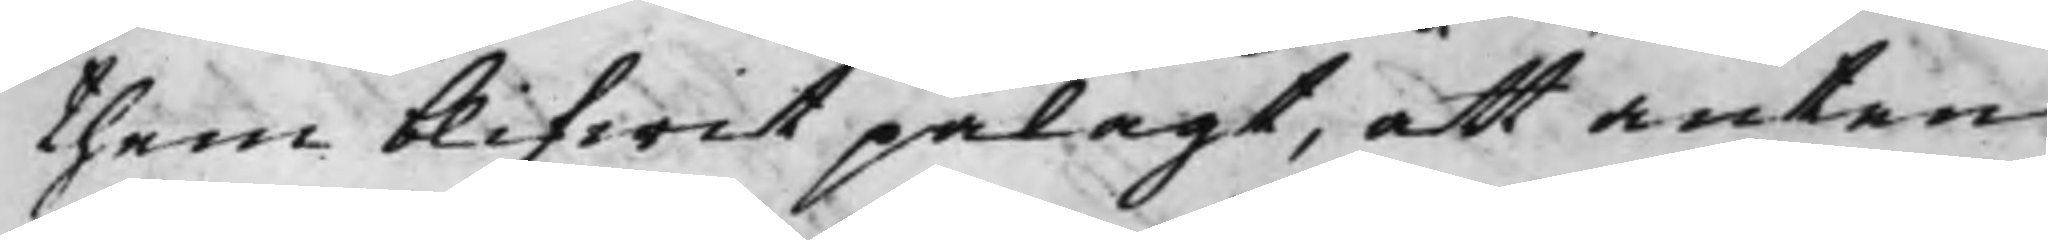them blifwit pålagt, att anten
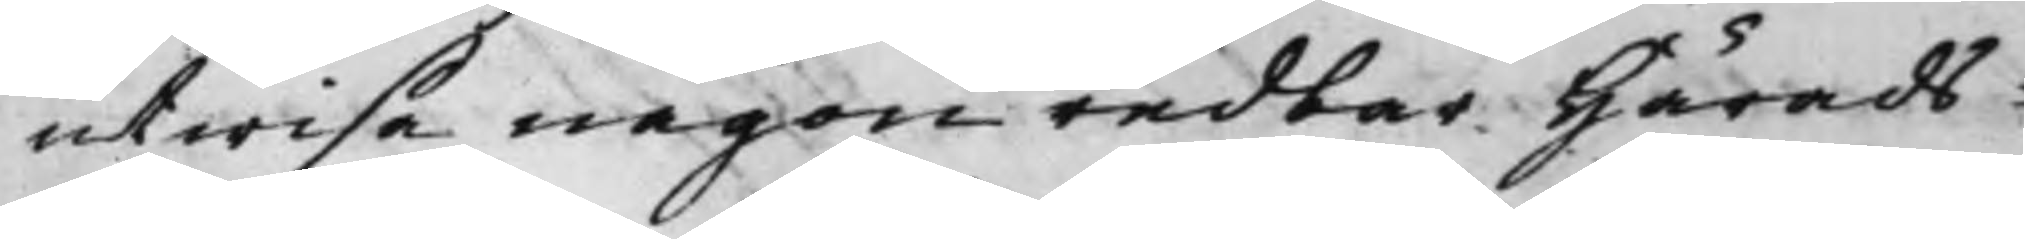utwisa någon reddar Härads¬
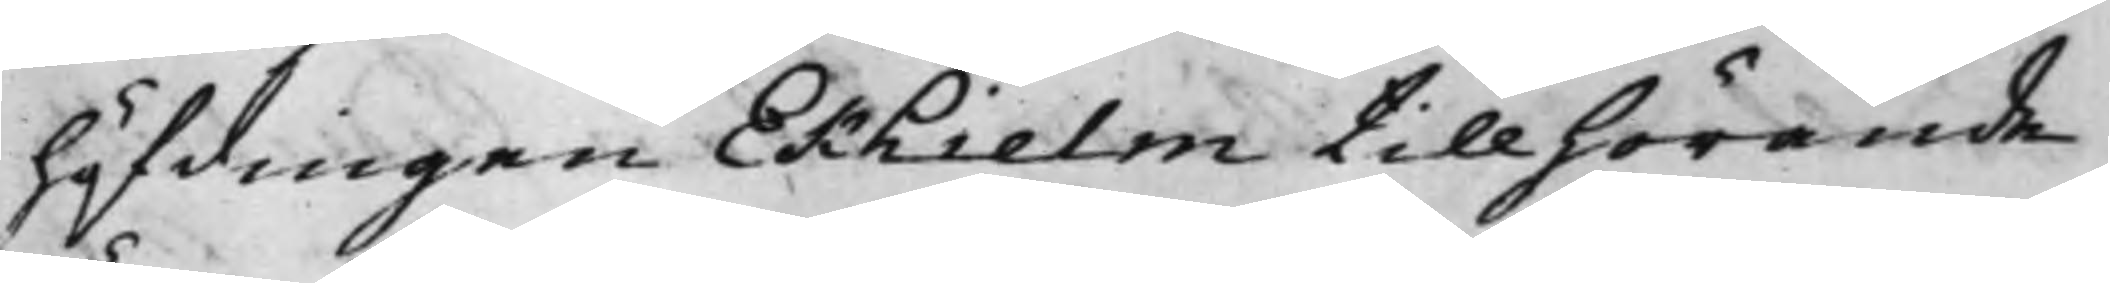höfdingen Ekhielm tillhörande
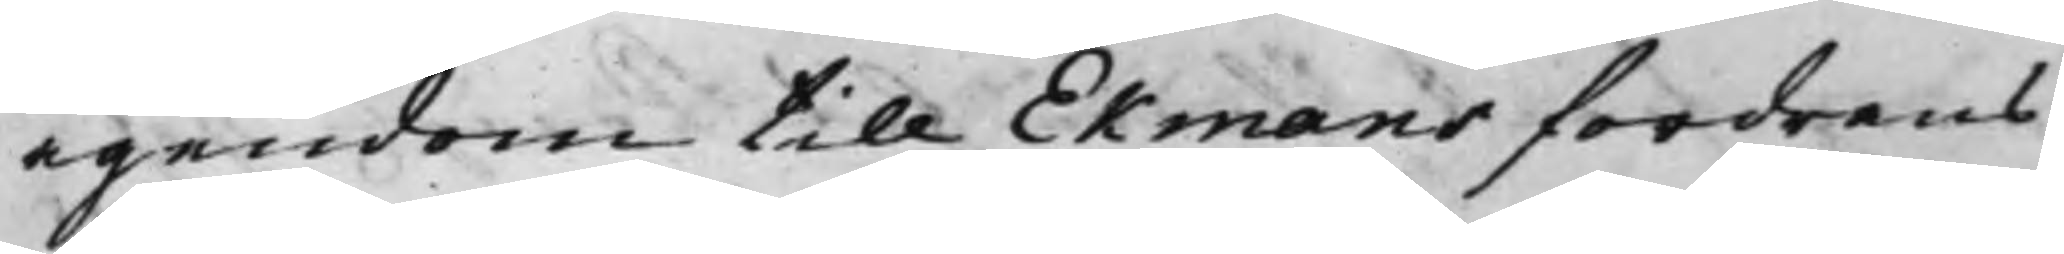ägendom till Ekmans fordrans
